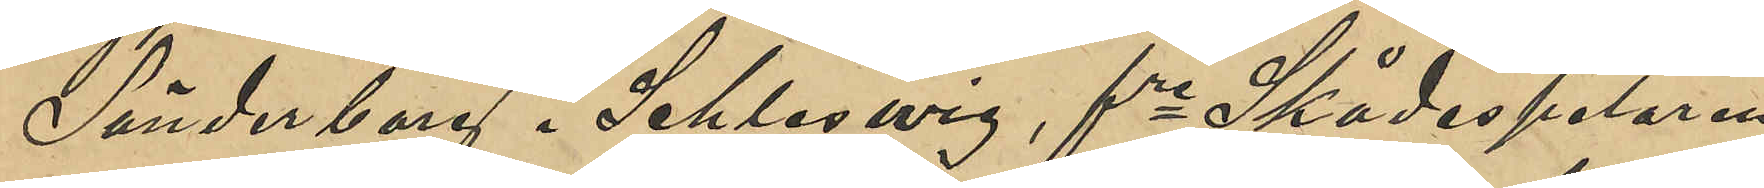Sönderborg i Schleswig, fre Skådespelaren
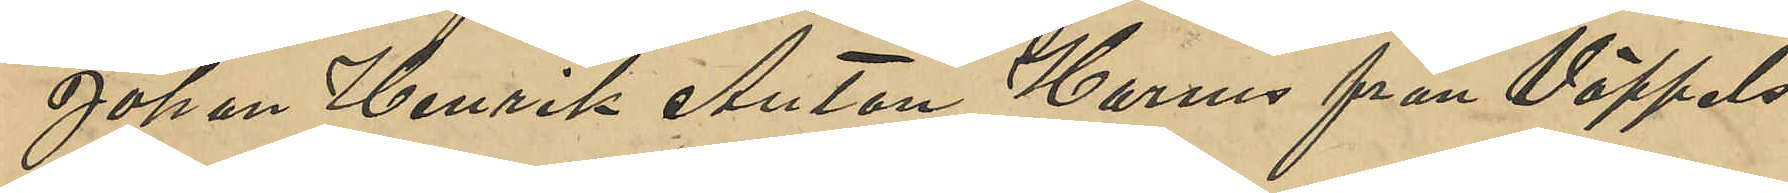Johan Henrik Anton Harms från Vöppels¬
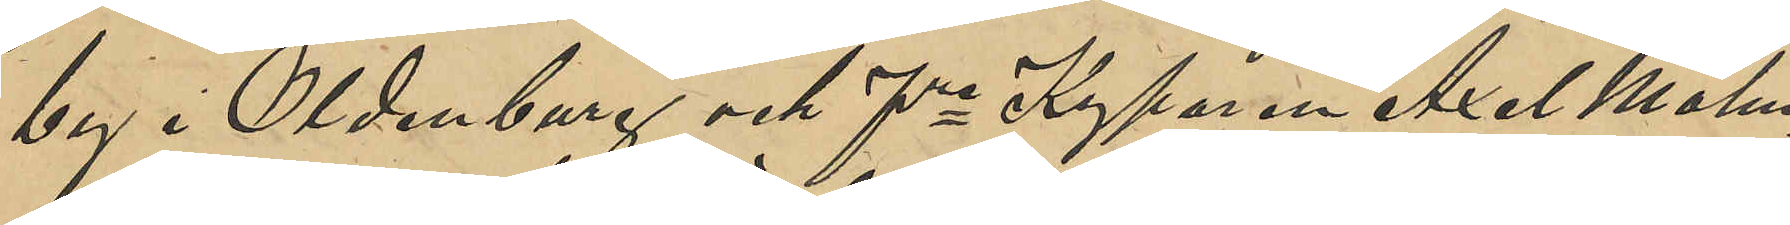by i Oldenburg och fre Kyparen Axel Malm¬
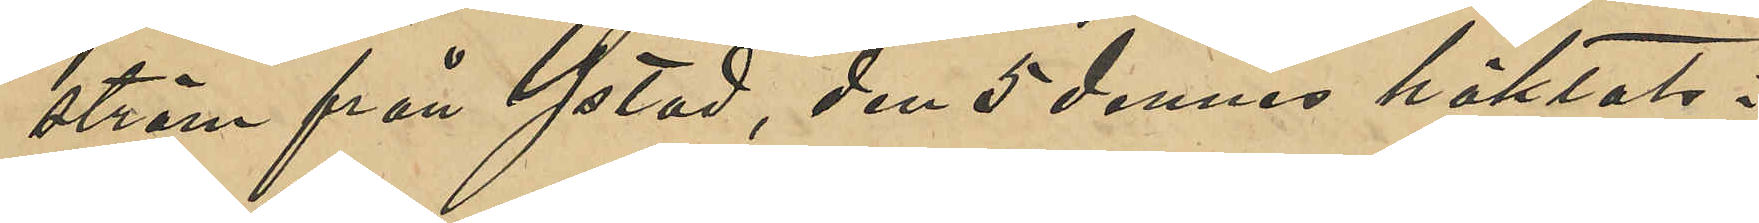ström från Ystad, den 5 dennes häktats i
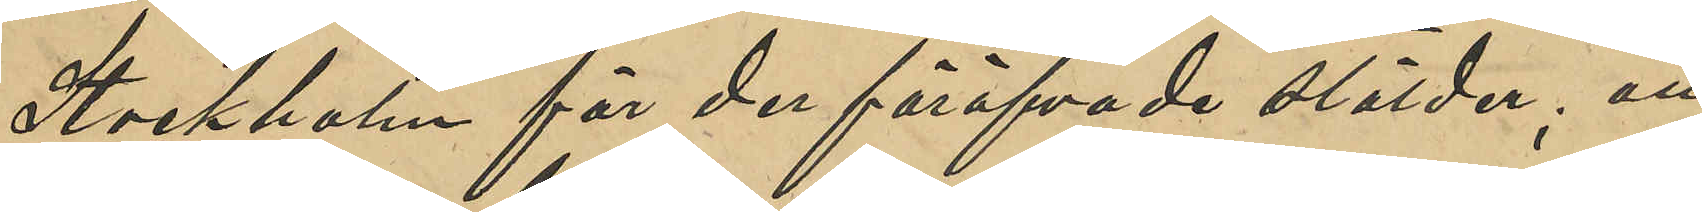Stockholm för der föröfvade stölder; att
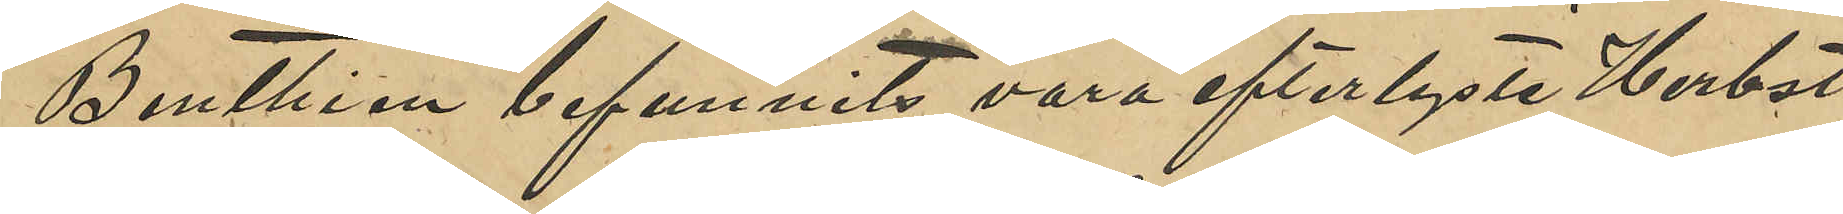Benthien befunnits vara efterlyste Herbst
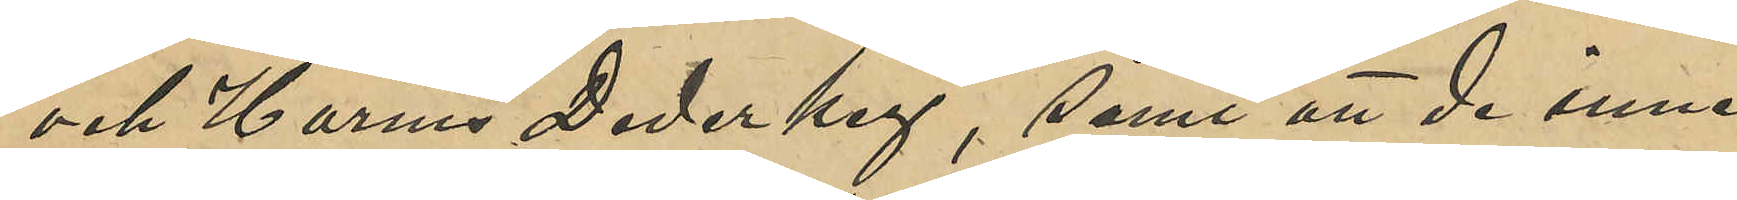och Harms Derekey, samt att de inne¬
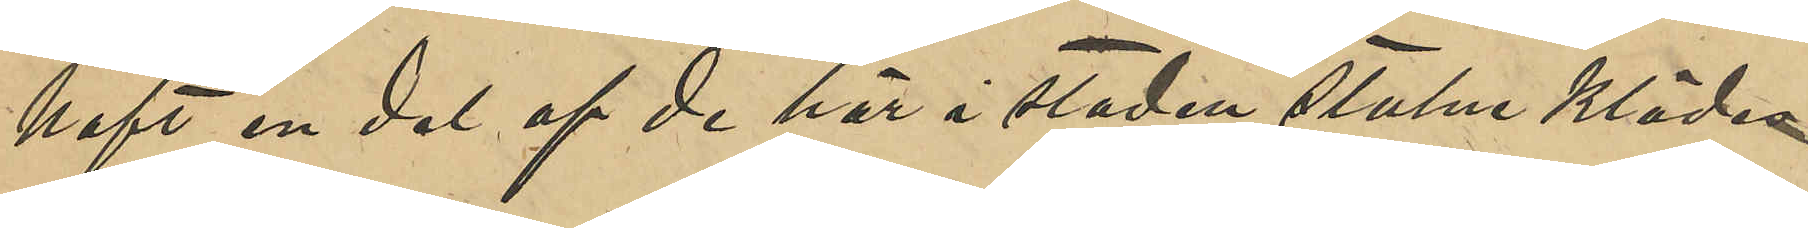haft en del af de här i staden stulne klädes¬
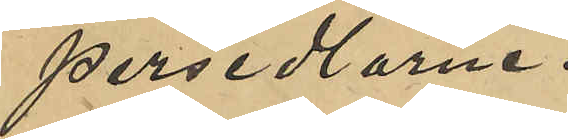persedlarne.
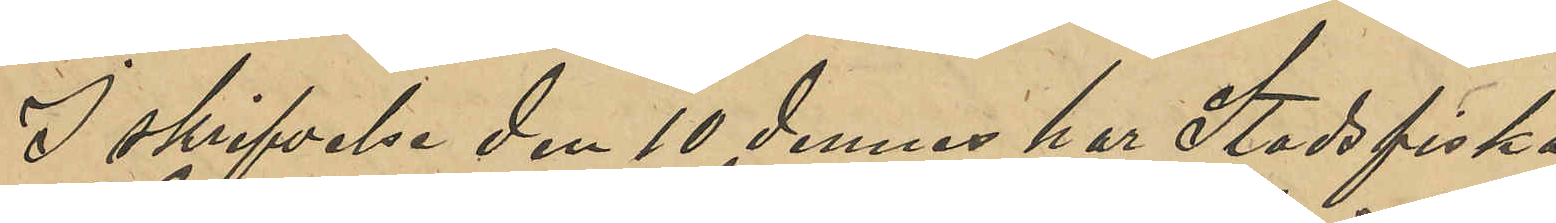I skrifvelse den 10 dennes har Stadsfiska¬
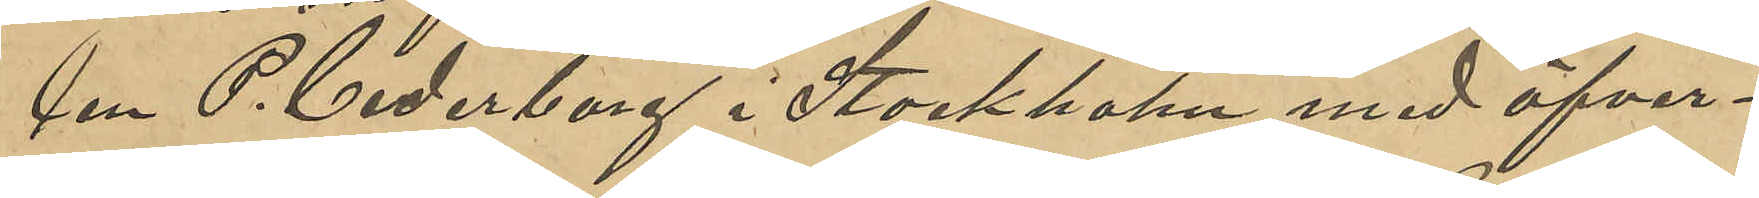len P. Cederborg i Stockholm med öfver¬
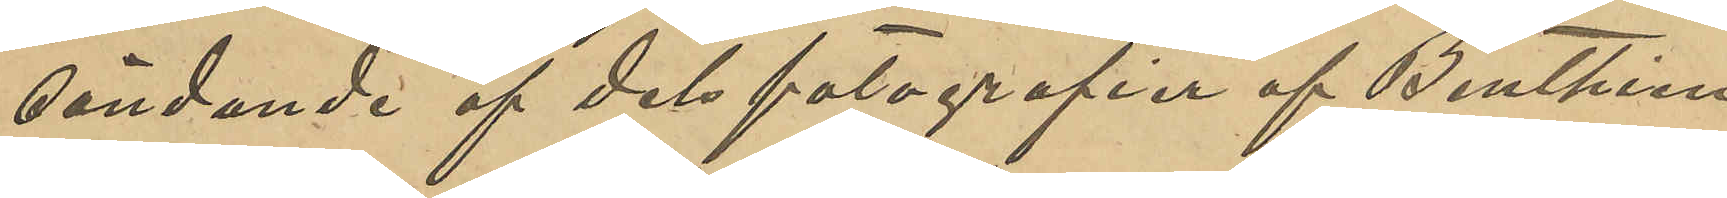sändande af dels fotografier af Benthien,
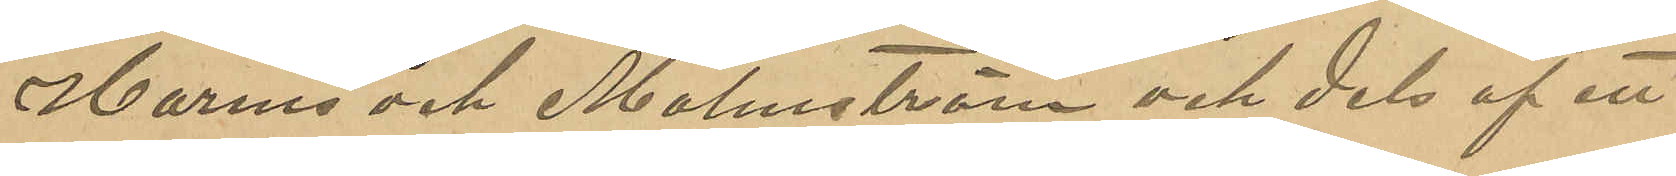Harms och Malmström och dels af ett
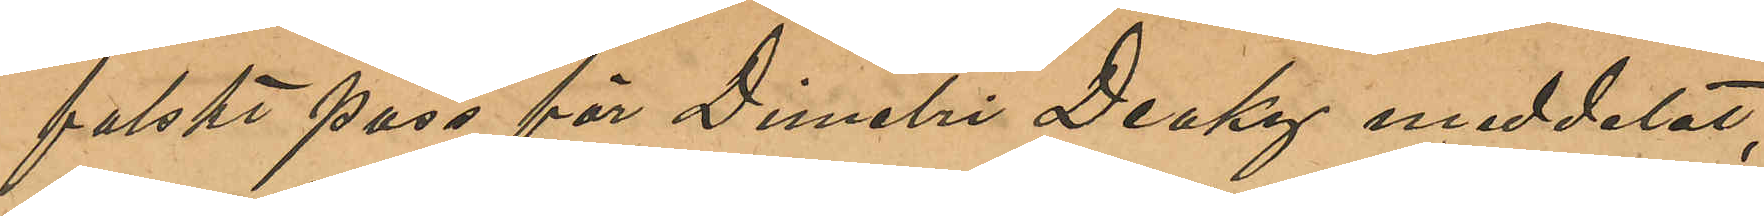falskt pass för Dimitri Deaky meddelat,
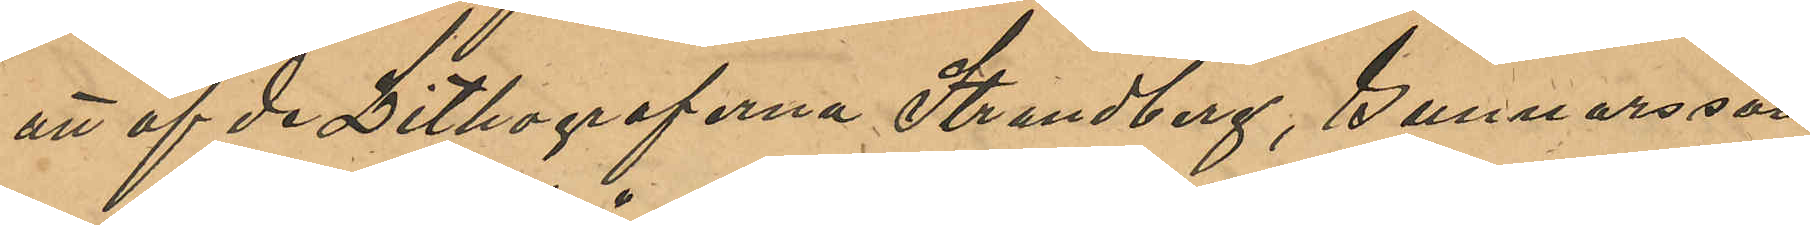att af de Lithograferna Strandberg, Gunnarsson
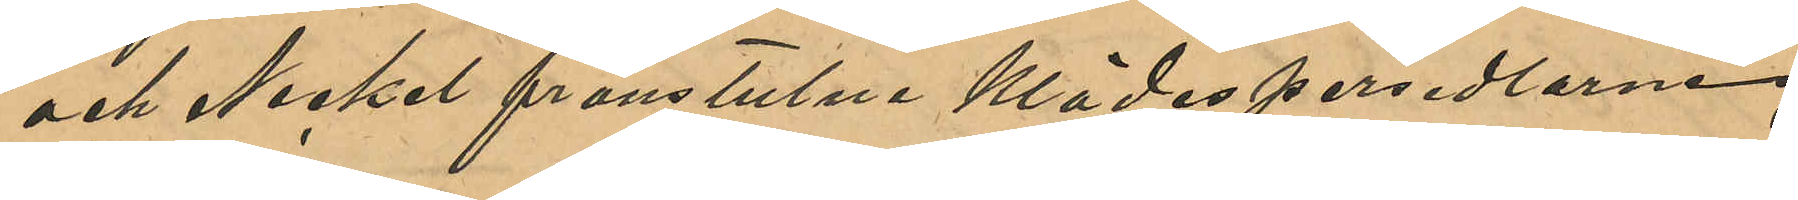och Nickel frånstulne klädespersedlarne,
